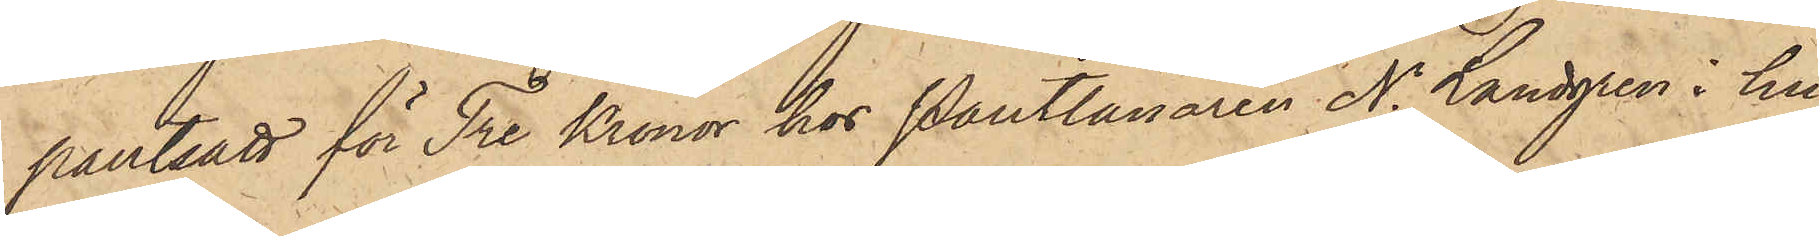pantsatt för Tre Kronor hos Pantlånaren N. Landgren i hu¬
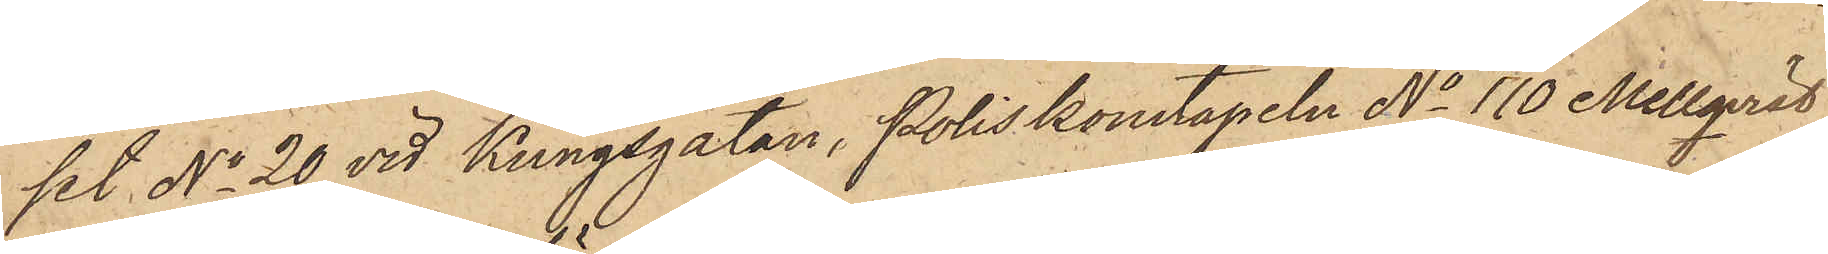set No 20 vid Kungsgatan, Poliskonstapeln No 110 Mellqvist
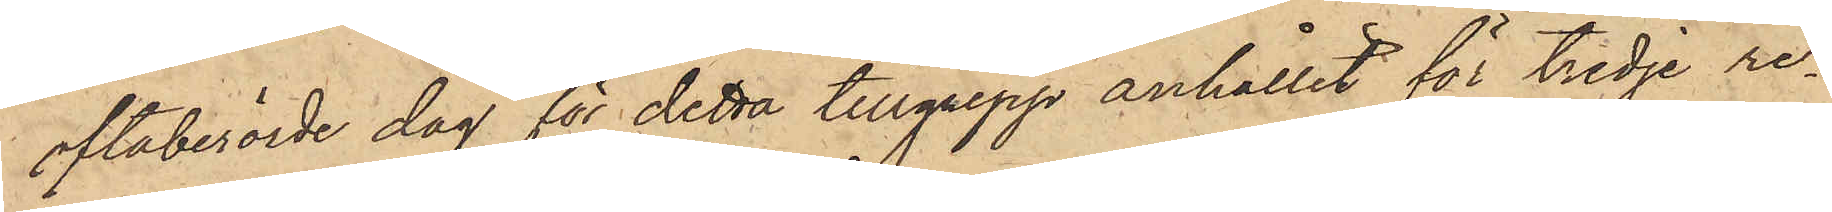oftaberörde dag för detta tillgrepp anhållit för tredje re¬
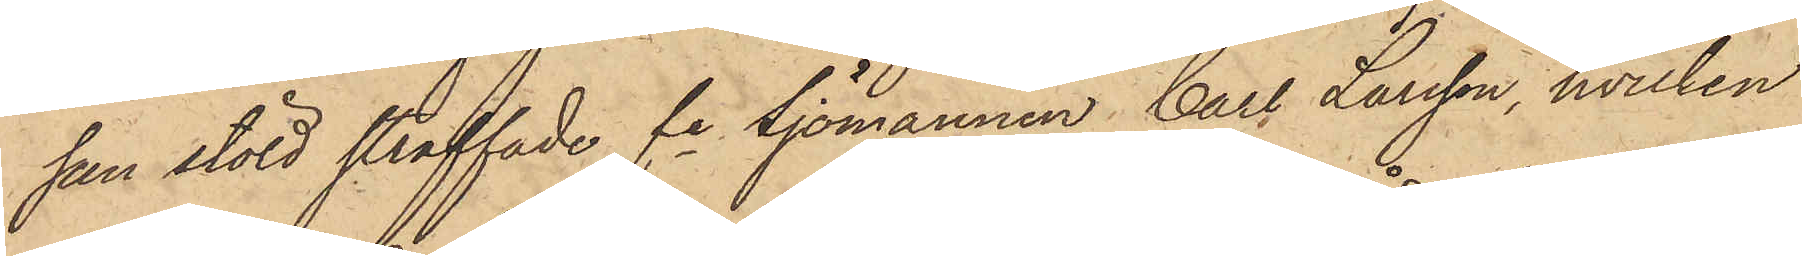san stöld straffade fe Sjömannen Carl Larsson, hvilken
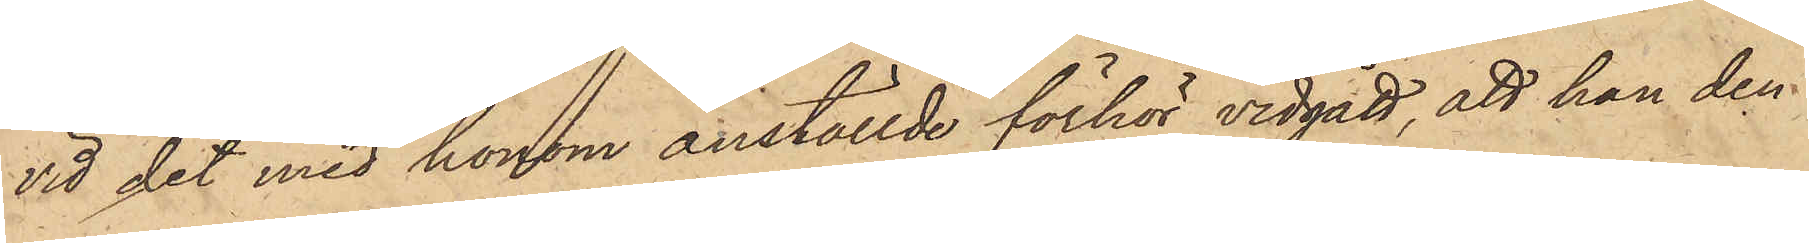vid det med honom anställde förhör vidgått, att han den 
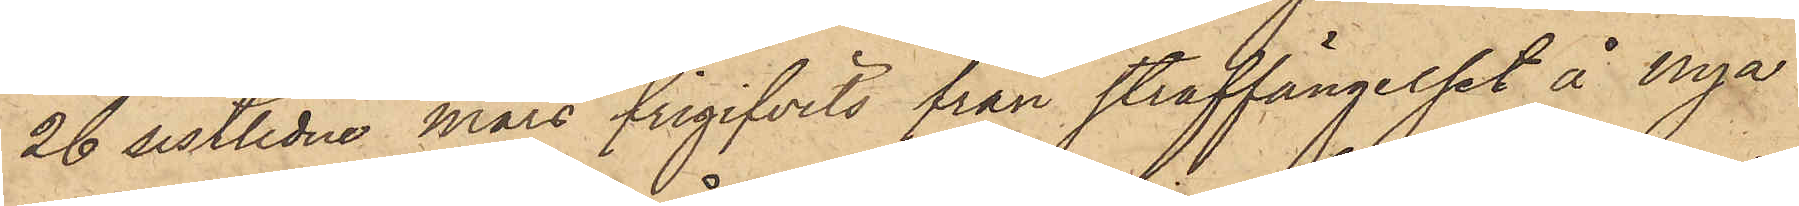26 sistlidne mars frigifvits från straffängelset å Nya
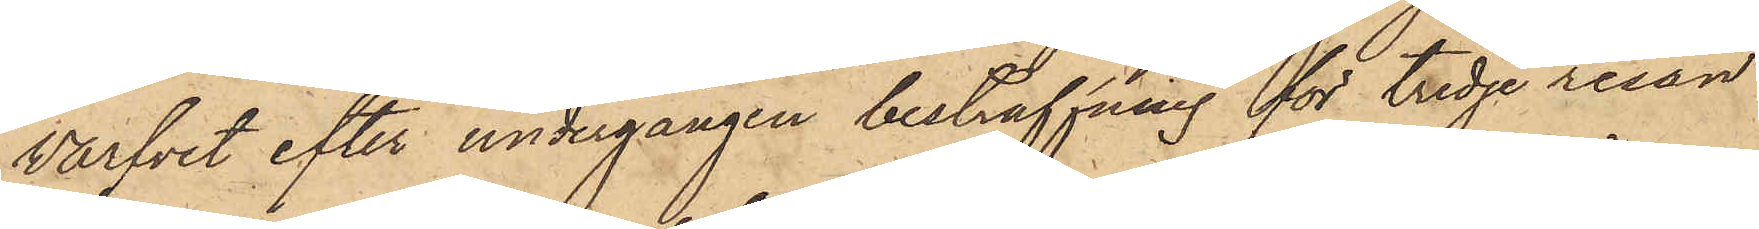Warfvet efter undergången bestraffning för tredje resan
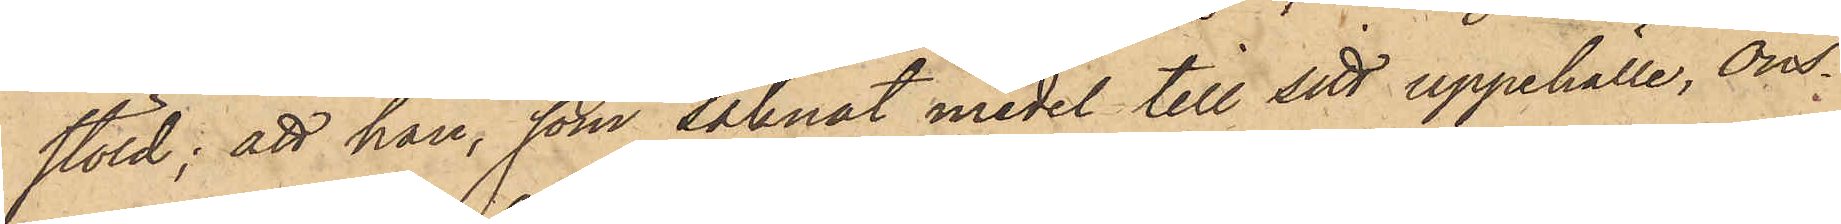stöld; att han, som saknat medel till sitt uppehälle, Ons¬
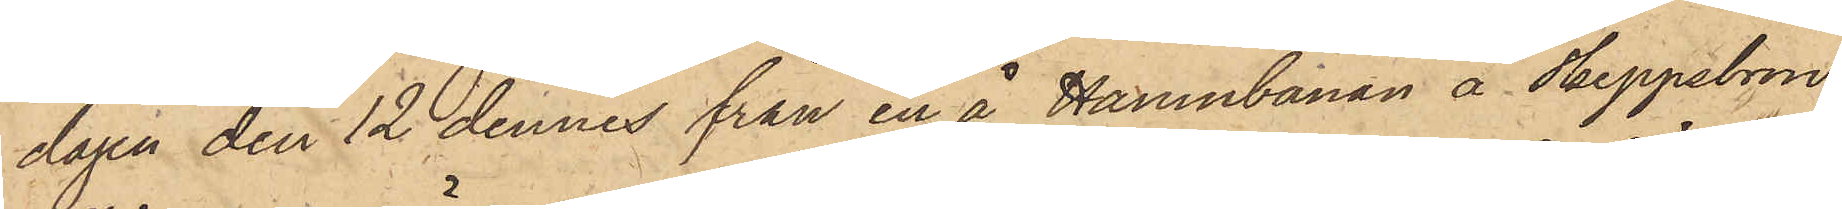dagen den 12 dennes från en å Hamnbanan å Skeppsbron
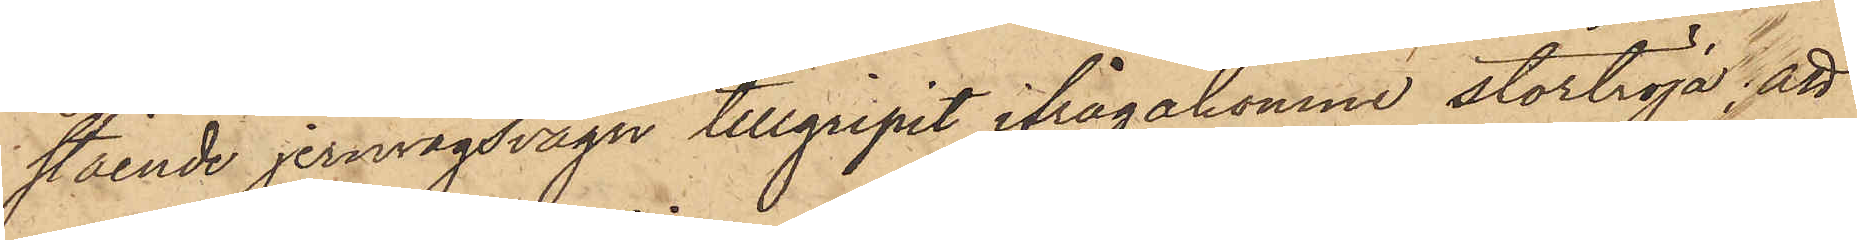stående jernvägsvagn tillgripit ifrågakomne stortröja; att
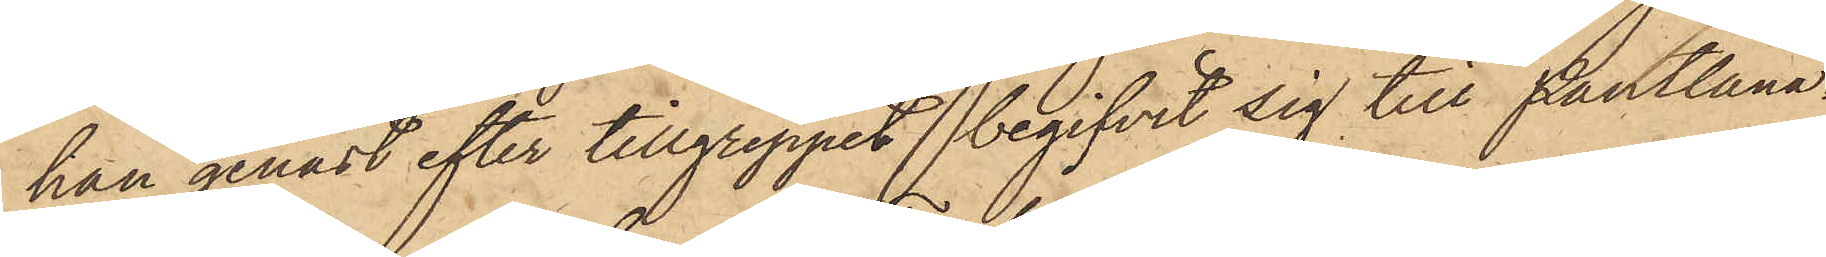han genast efter tillgreppet begifvit sig till Pantlåna¬
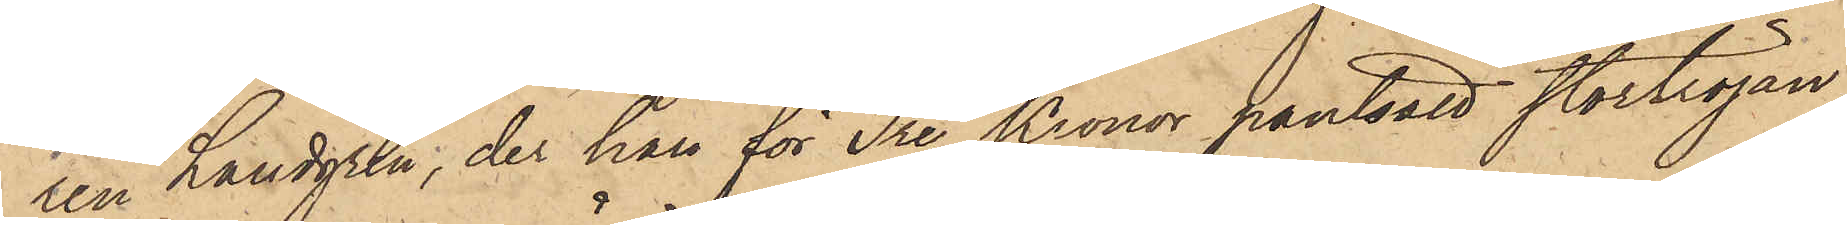ren Landgren, der han för Tre Kronor pantsatt stortröjan,
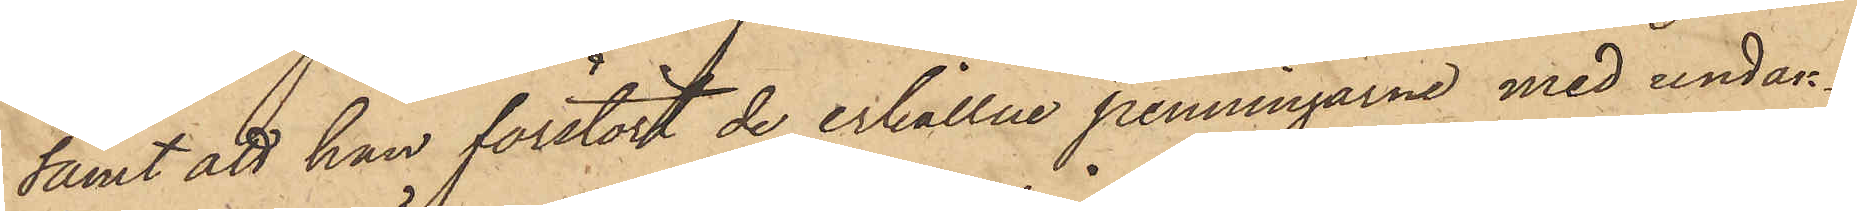samt att han förstört de erhållne penningarne med undan¬
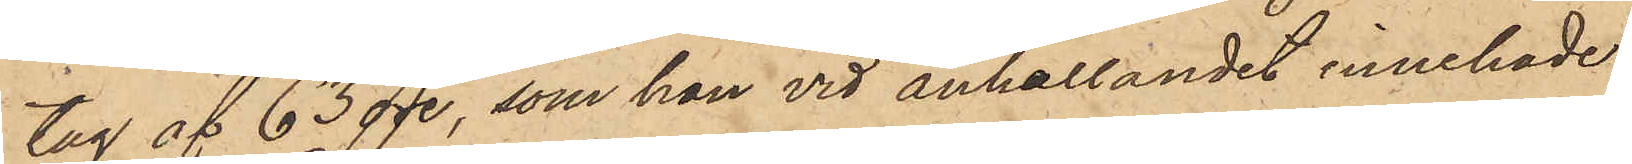tag af 63 öre, som han vid anhållandet innehade.
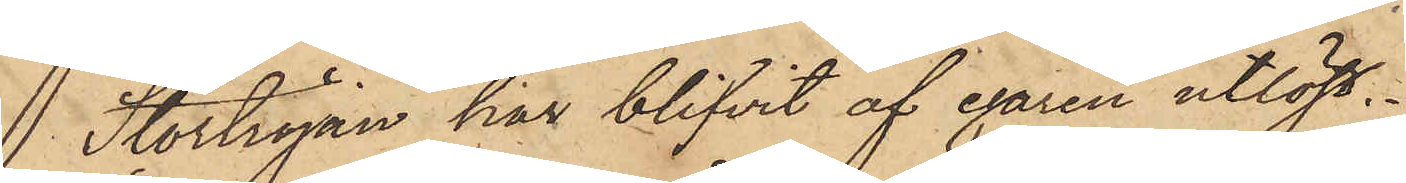 Stortröjan har blifvit af egaren utlöst.
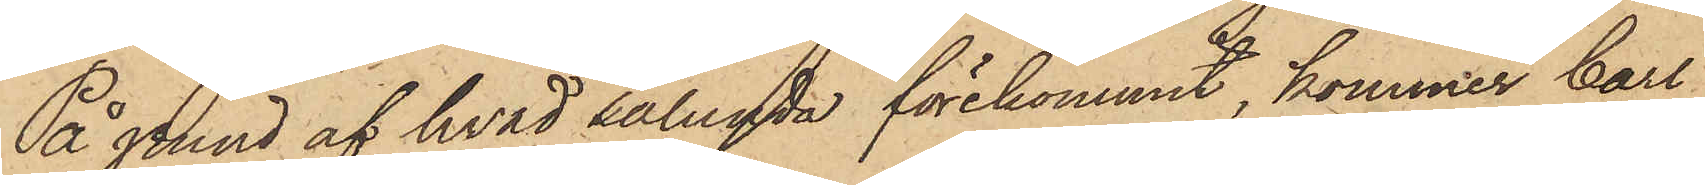På grund af hvad sålunda förekommit, kommer Carl
